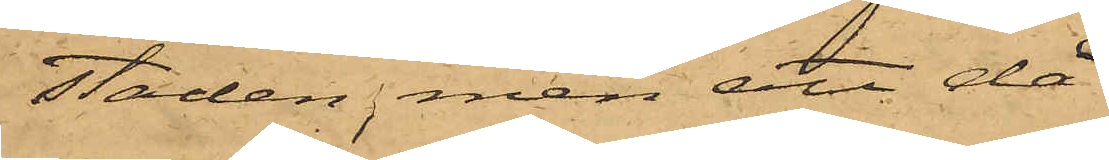staden, men att då
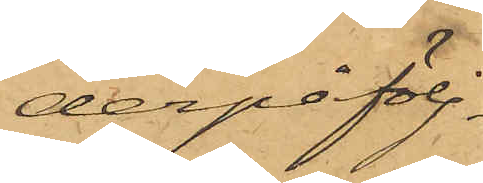derpåfölj¬
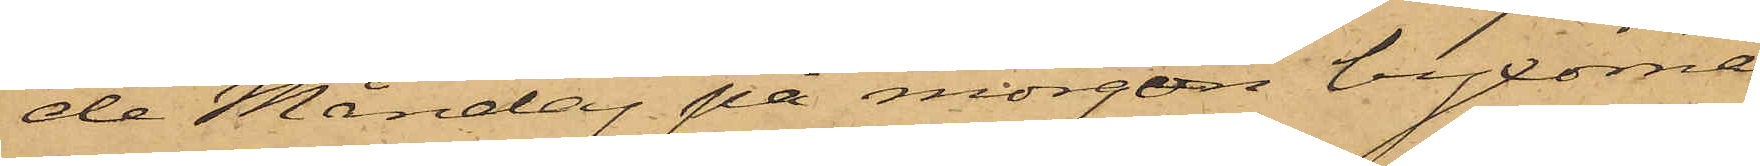de Måndag på morgon byxorna
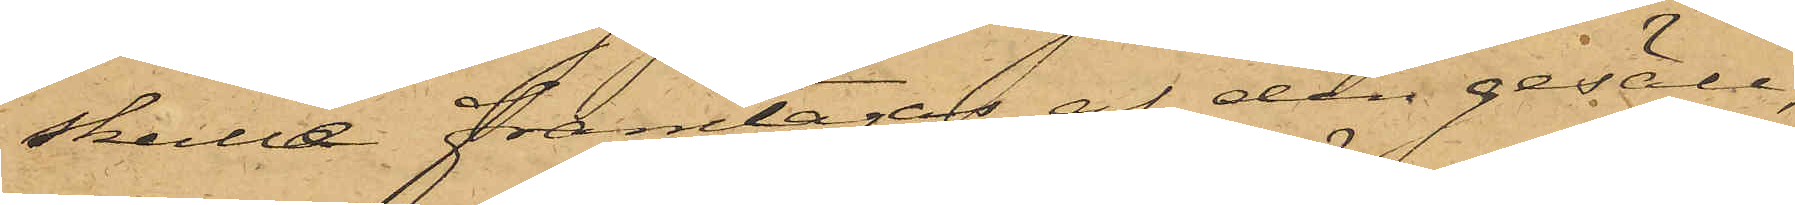skulle framtagas af den gesäll,
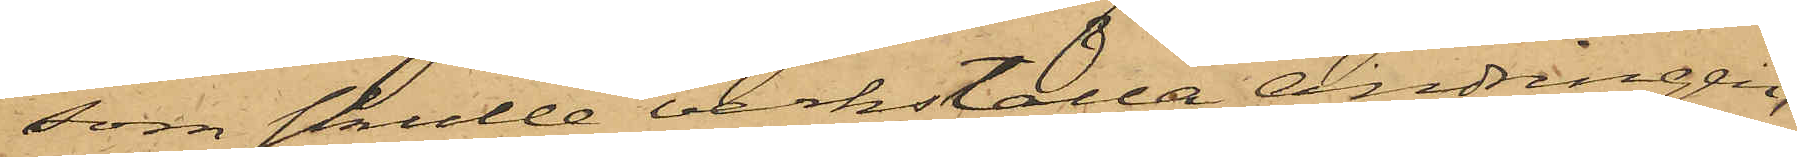som skulle verkställa ändringen,
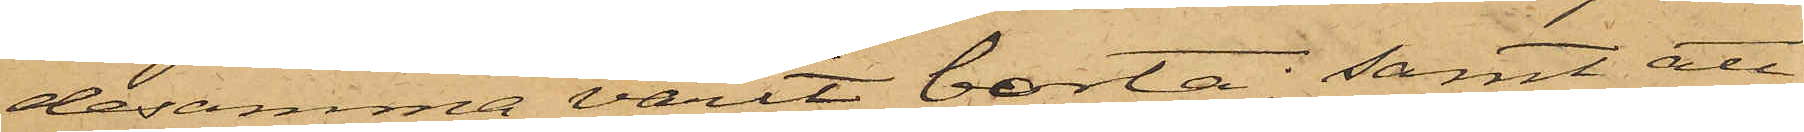desamma varit borta; samt att
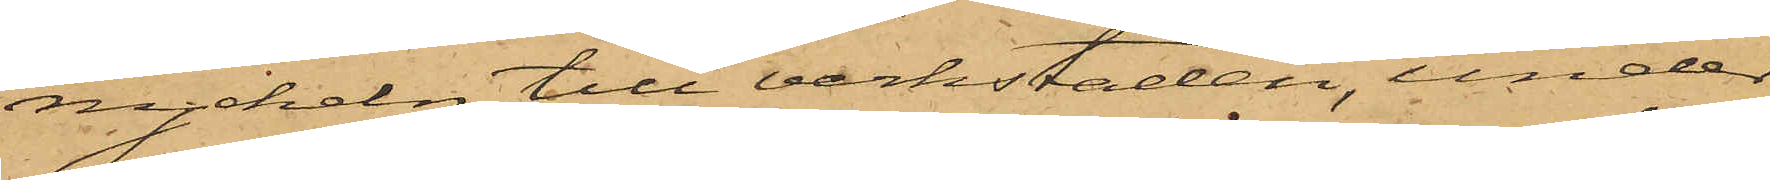nyckeln till verkstaden, under
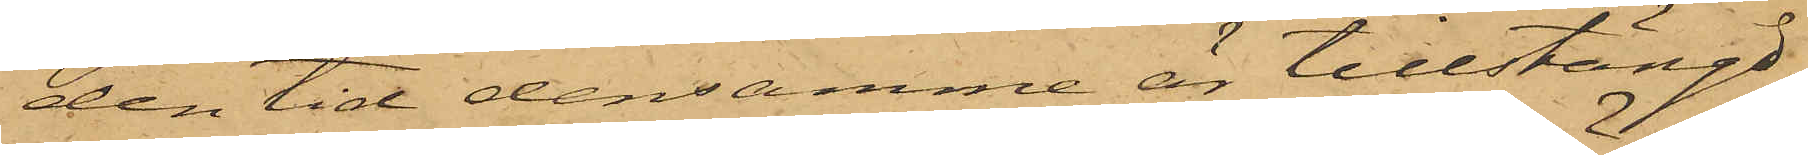den tid densamme är tillstängd,
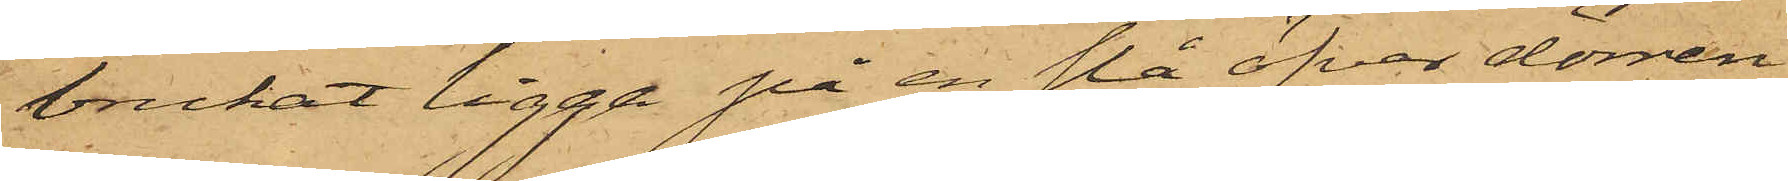brukat ligga på en slå öfver dörren,
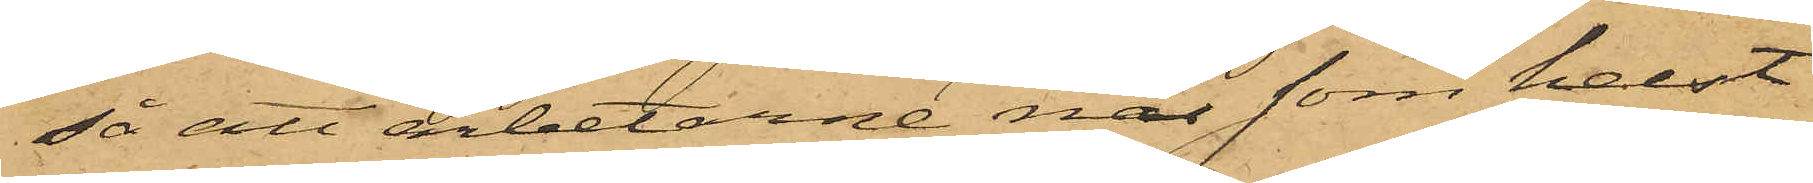så att arbetarne när som helst
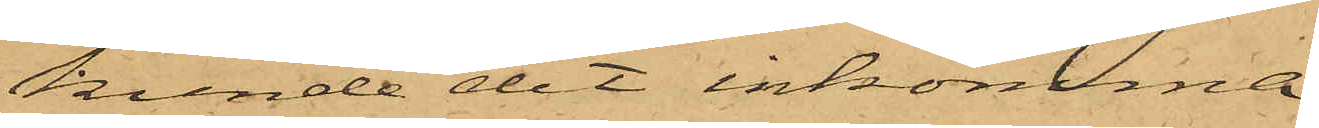kunde dit inkomma.
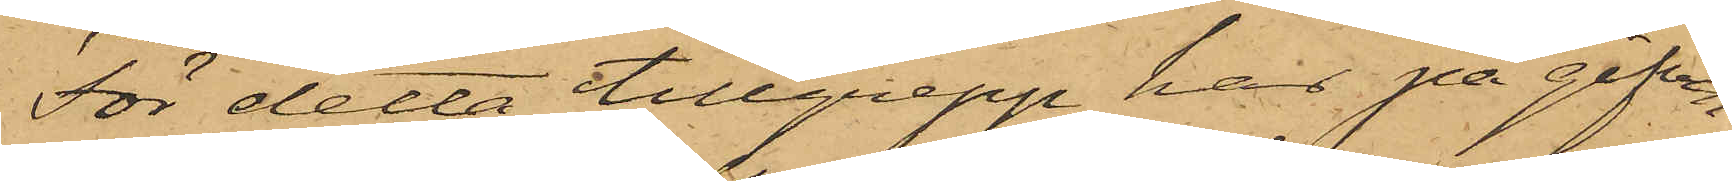För detta tillgrepp har på gifven
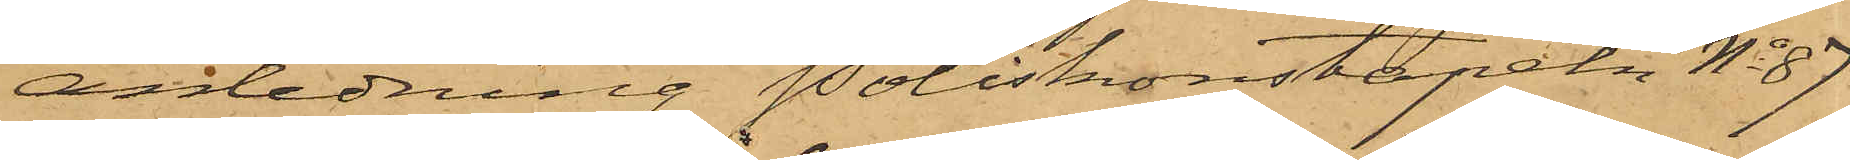anledning Poliskonstapeln No 87
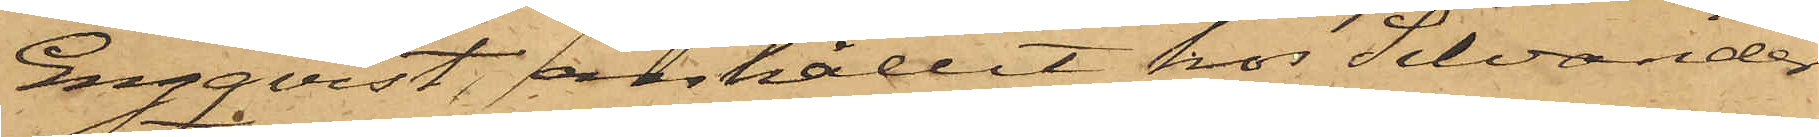Engqvist, anhållit hos Silvander
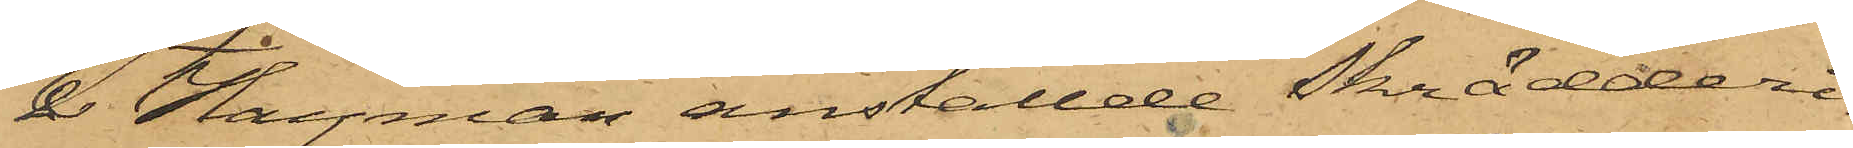& Hayman anställde Skrädderi¬
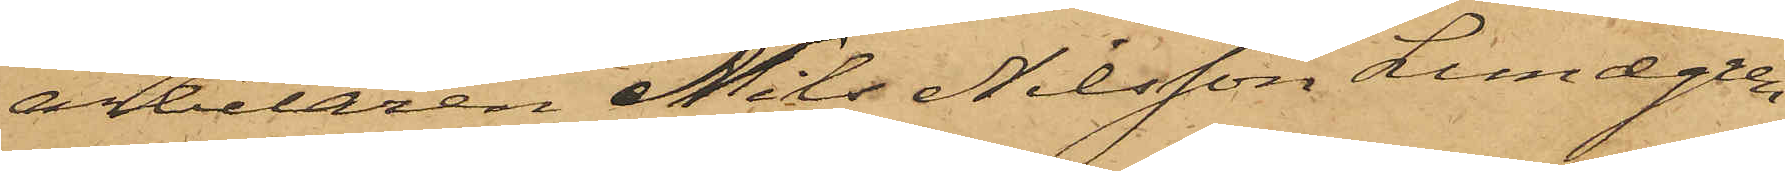arbetaren Nils Nilsson Lundgren
